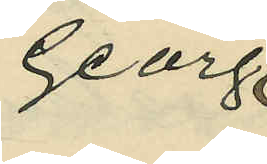Georg
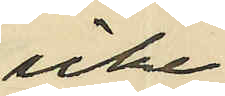icke
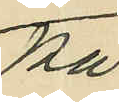på
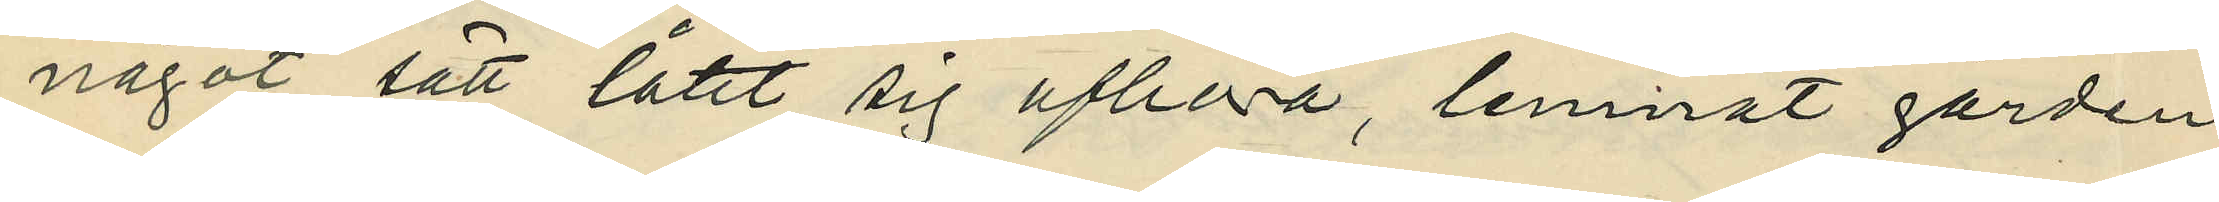något sätt låtit sig afhöra, lemnat gården
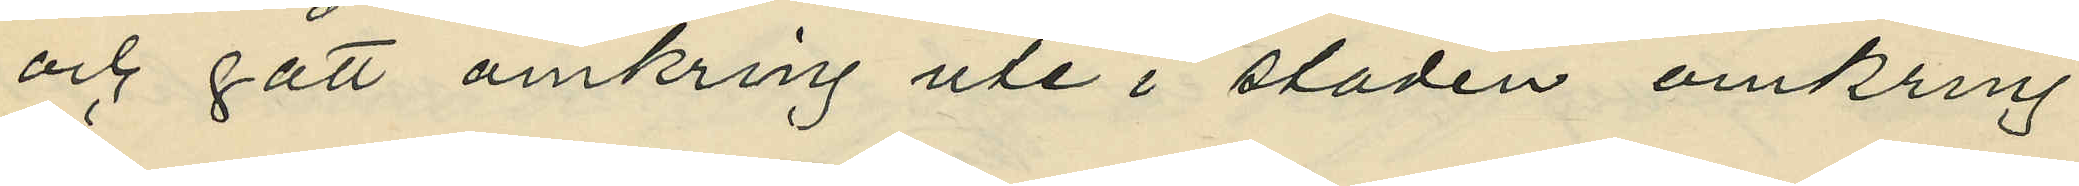och gått omkring ute i staden omkring
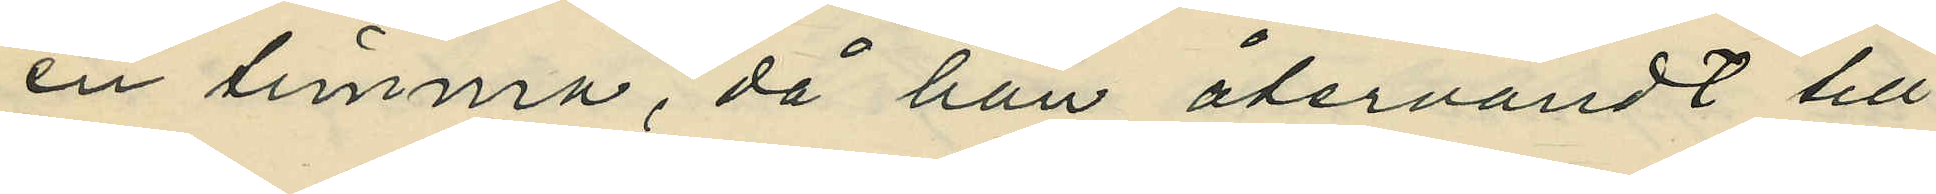en timma, då han återvändt till
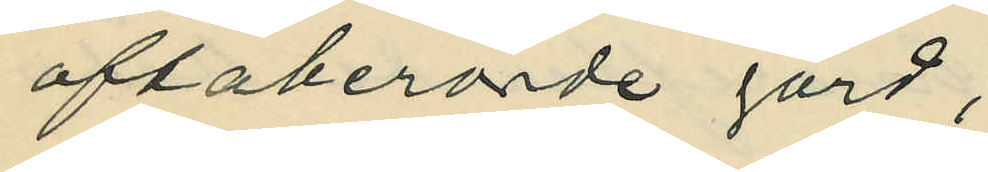oftaberörde gård;
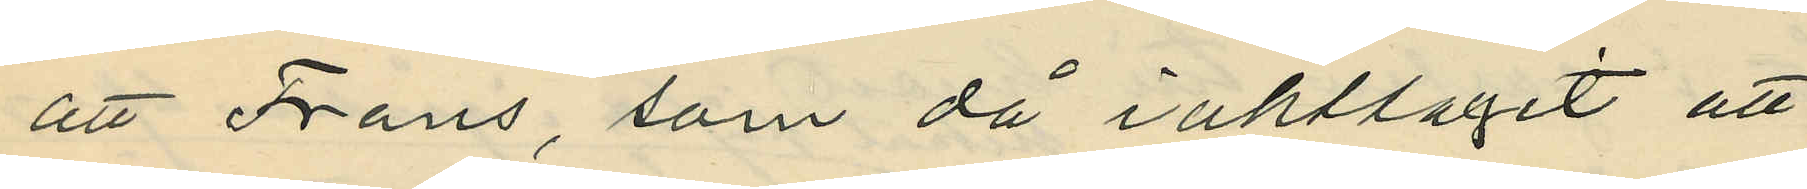att Frans, som då iakttagit att
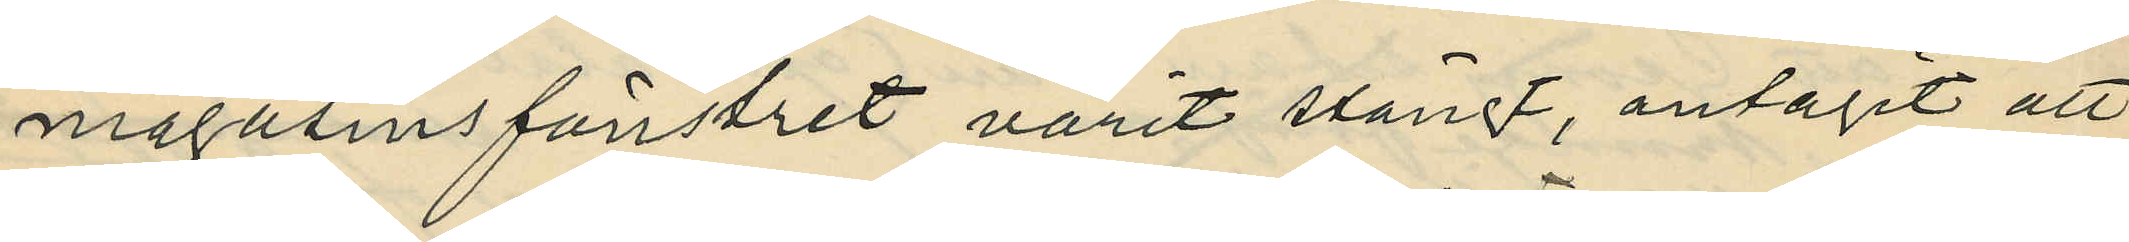magasinsfönstret varit stängt, antagit att
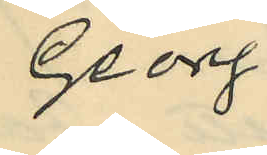Georg
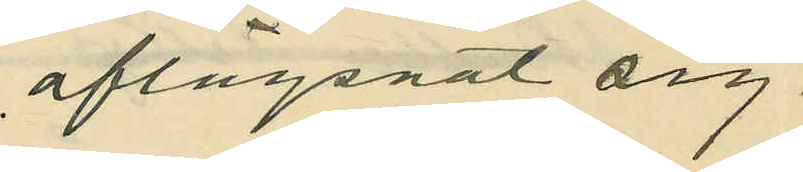aflägsnat sig.
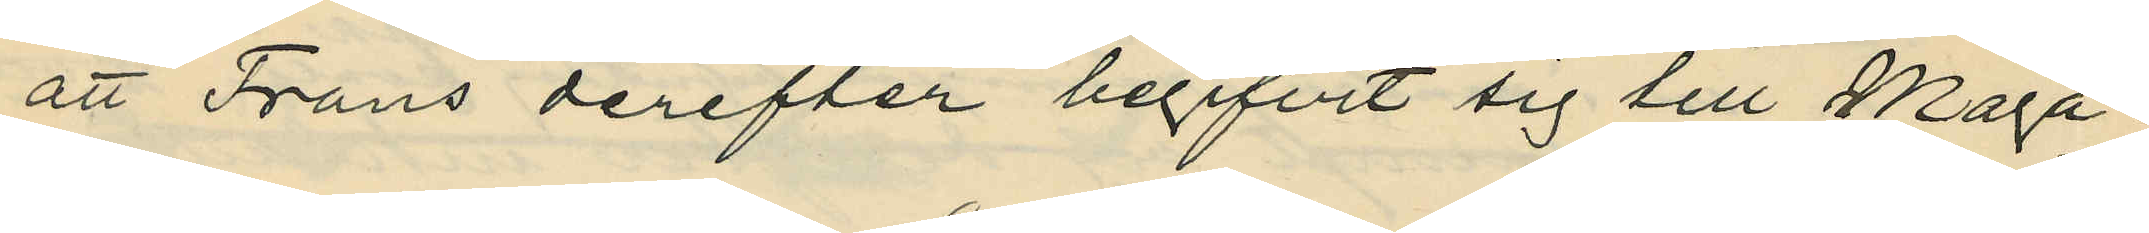att Frans derefter begifvit sig till Maga¬
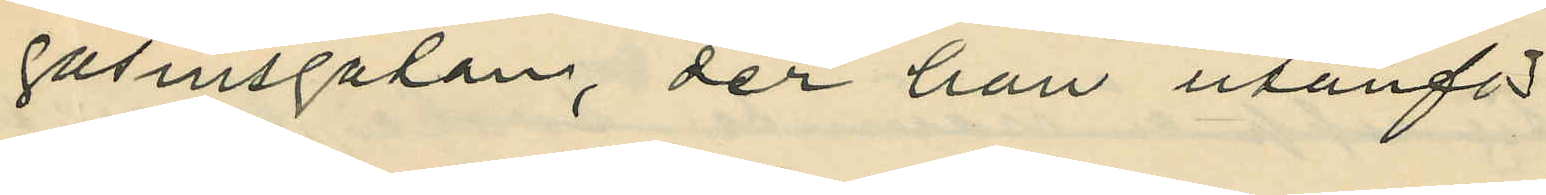gasinsgatan, der han utanför
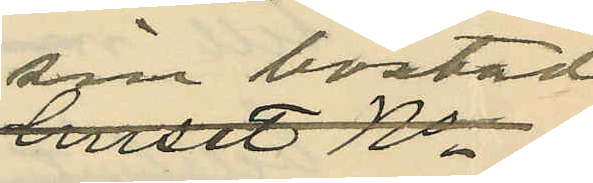sin bostad
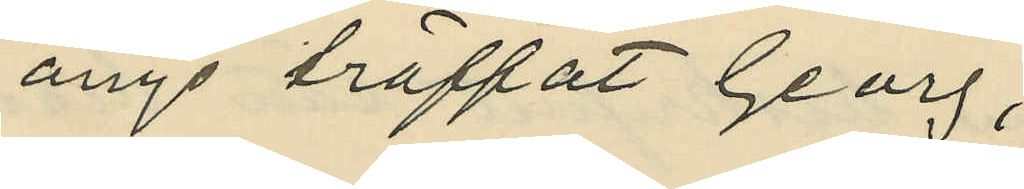ånyo träffat Georg;
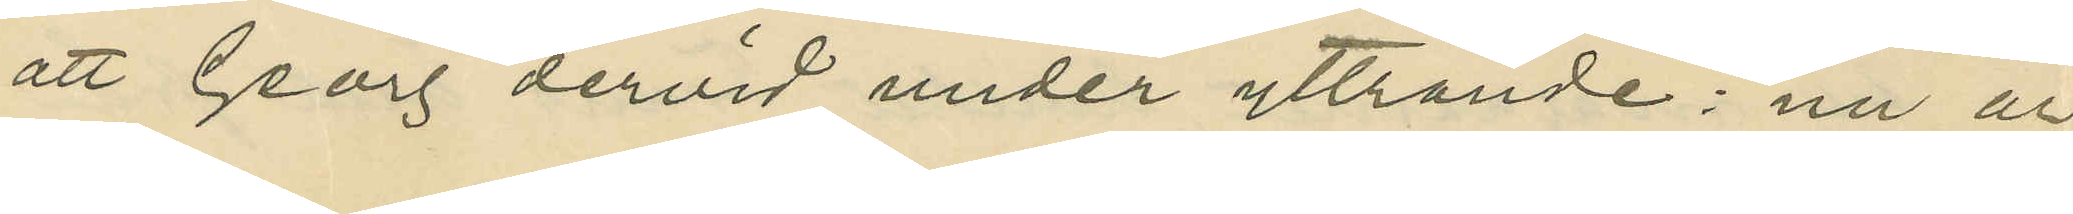att Georg dervid under yttrande: "nu är
